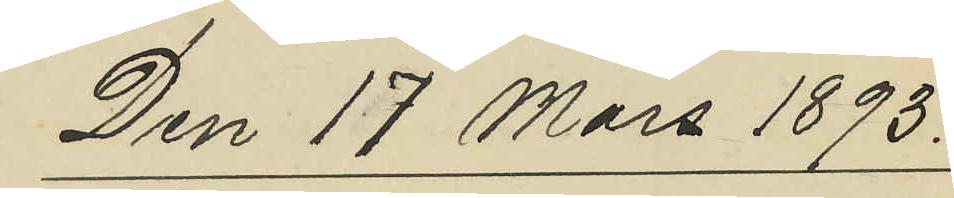Den 17 Mars 1893.
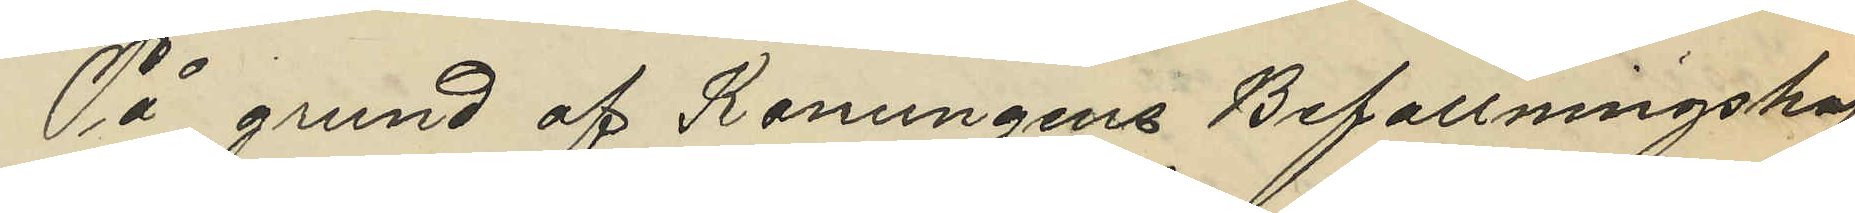På grund af Konungens Befallningshaf¬
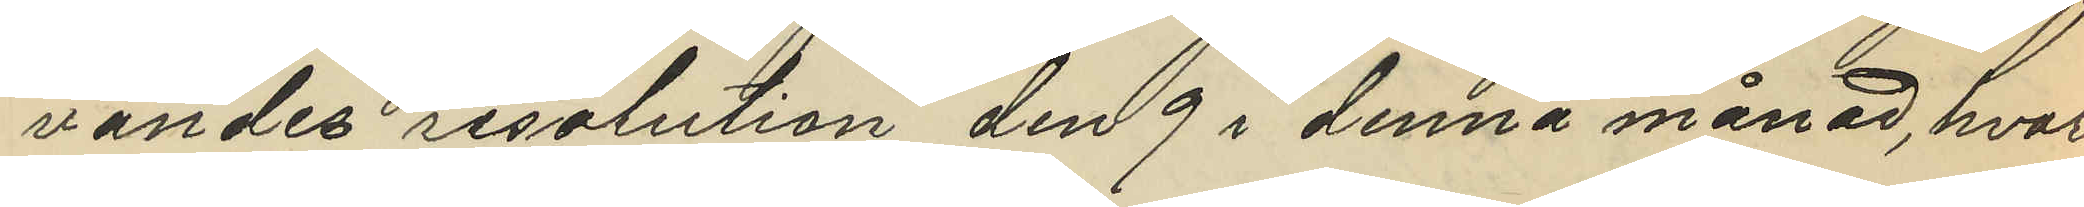vandes resolution den 9 i denna månad, hvar¬
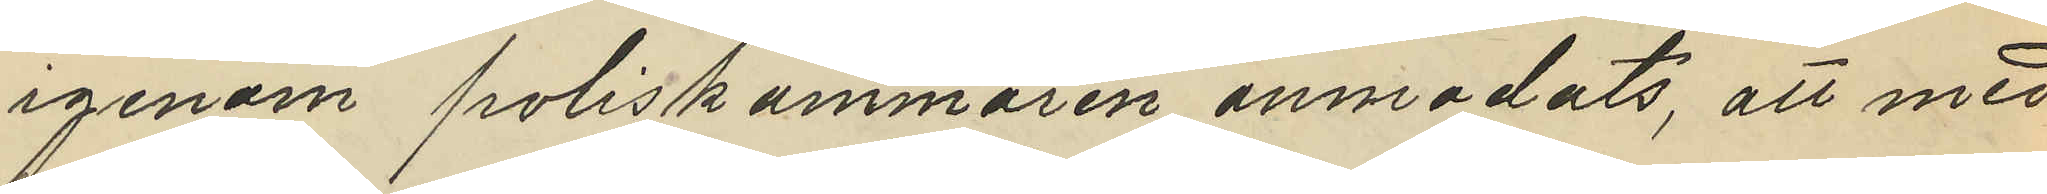igenom poliskammaren anmodats, att med
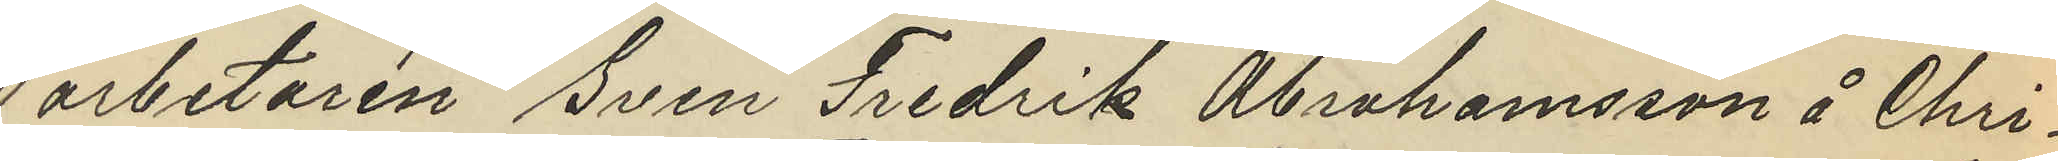arbetaren Sven Fredrik Abrahamsson å Chri¬
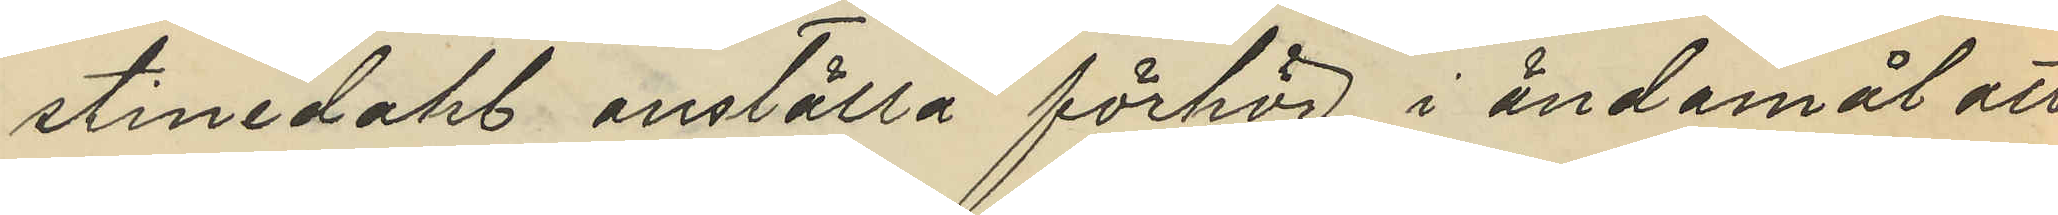stinedahl anställa förhör i ändamål att
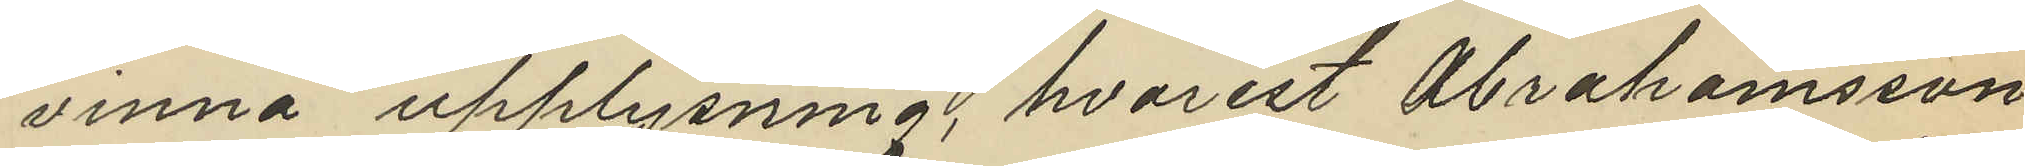vinna upplysning, hvaremot Abrahamsson
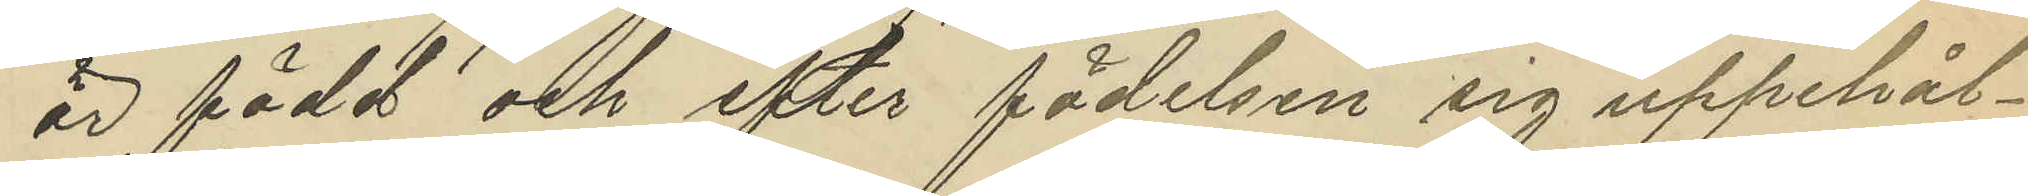är född och efter födelsen sig uppehål¬
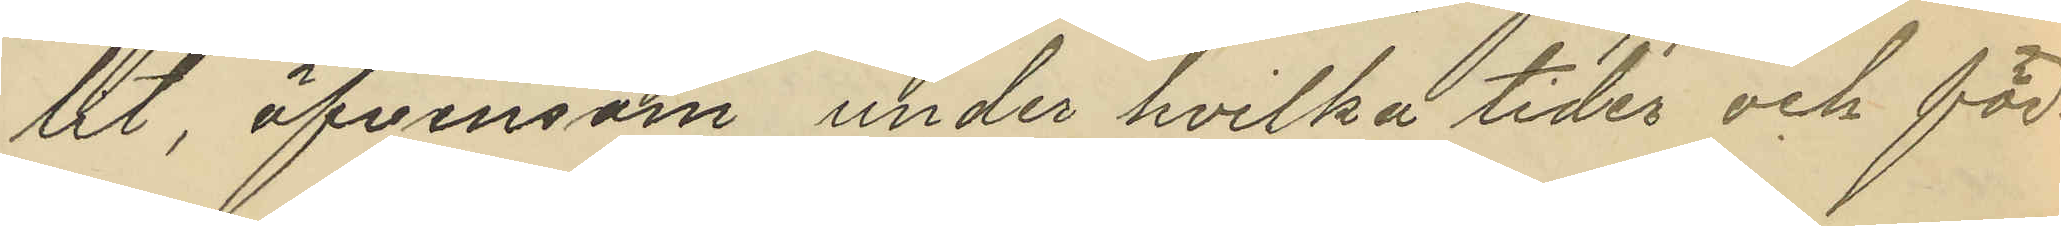lit äfvensom under hvilka tider och för¬
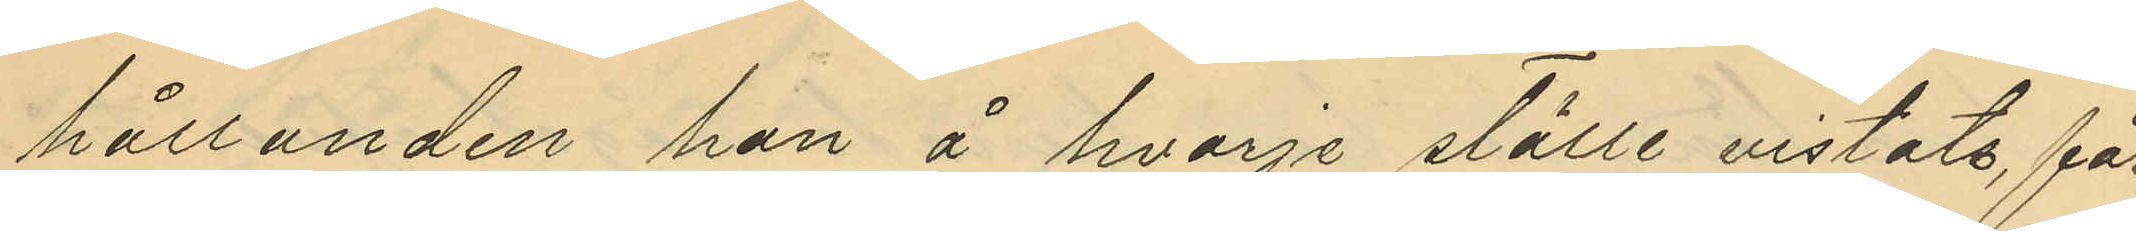hållanden han å hvarje ställe vistats, får
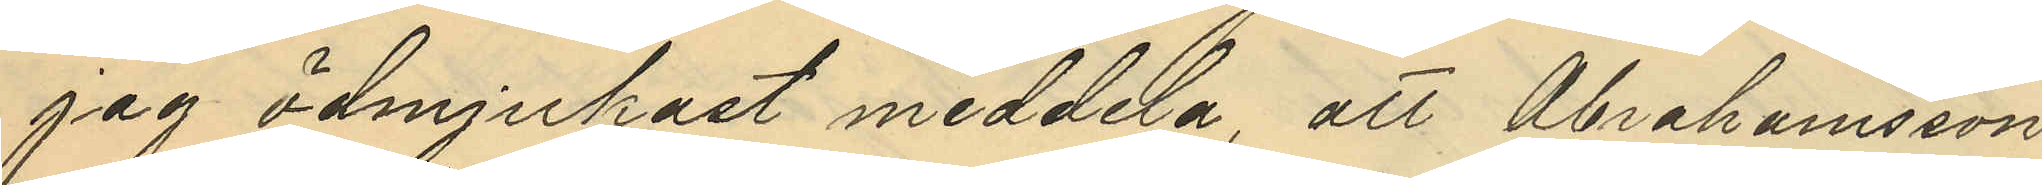jag ödmjukast meddela, att Abrahamsson
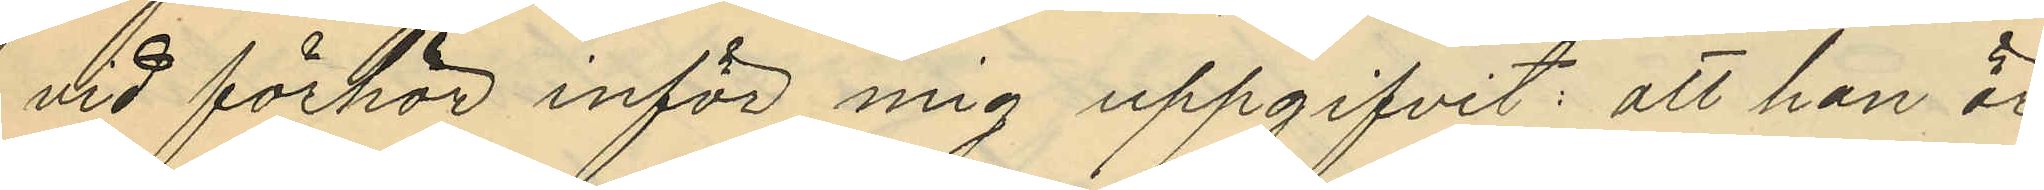vid förhör inför mig uppgifvit: att han är
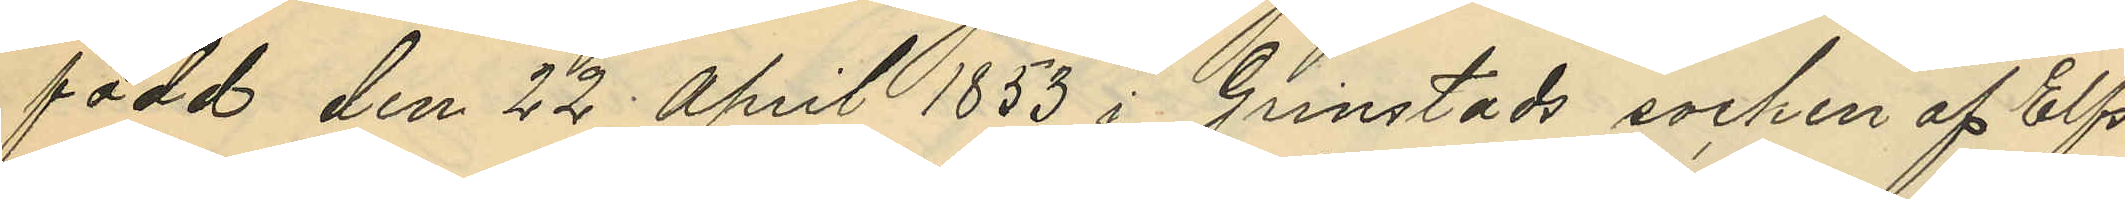född den 22 April 1853 i Grinstads socken af Elfs¬
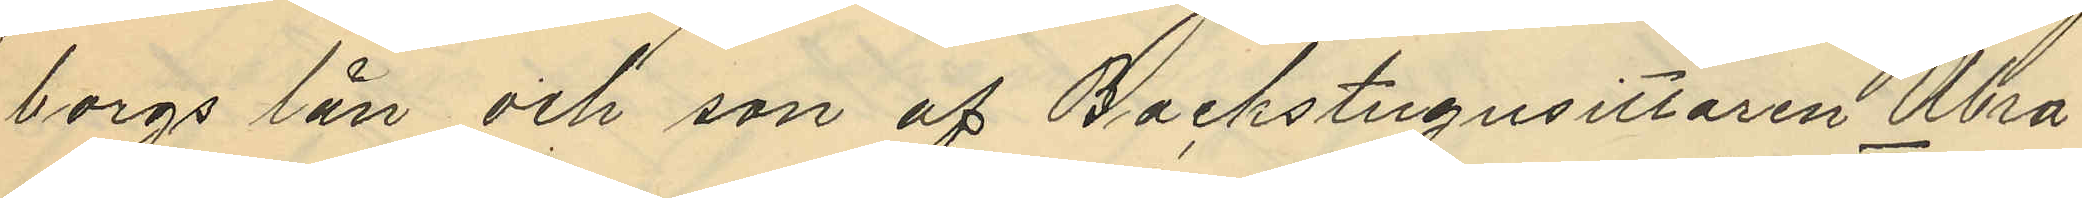borgs län och son af Backstugusittaren Abra¬
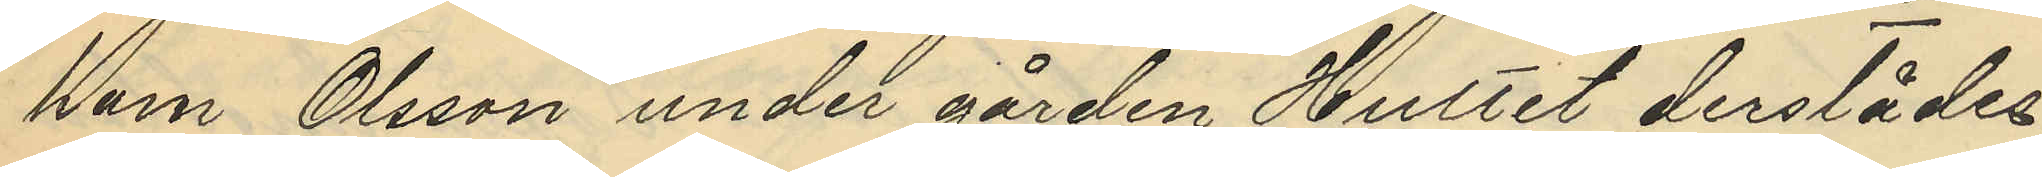ham Olsson under gården Hultet derstädes;
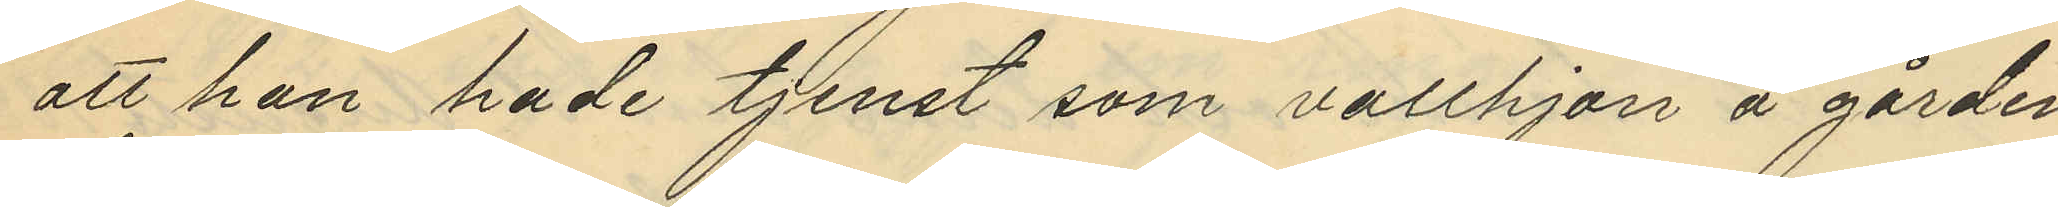att han hade tjenst som vallhjon å gården
